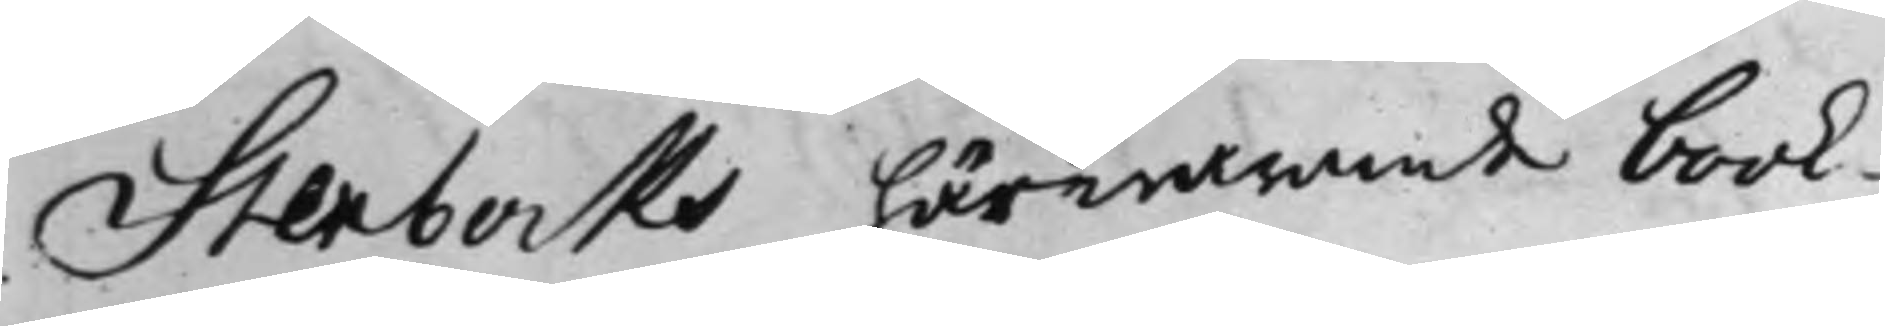Stenbocks härwarande book¬
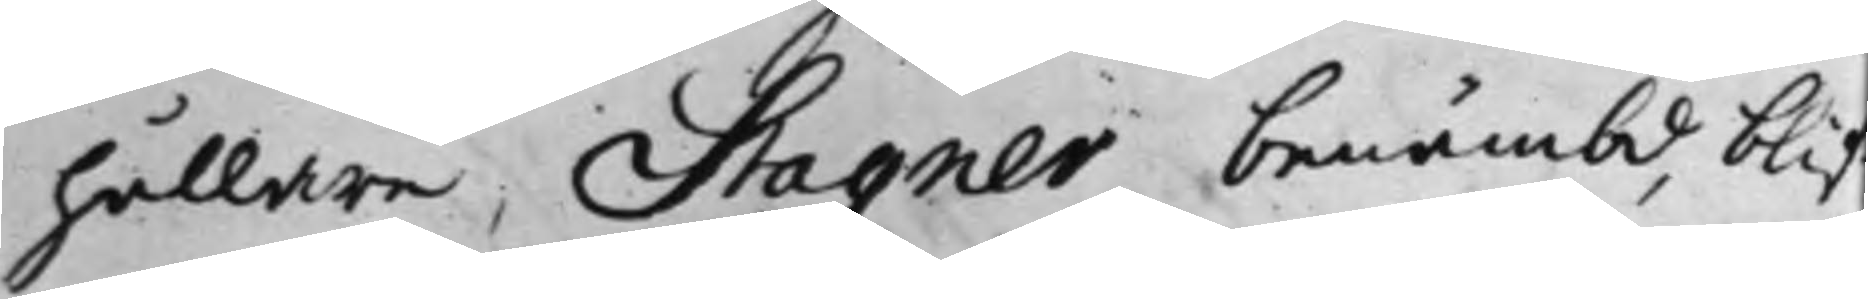hållare, Stagner benämbd, blif¬
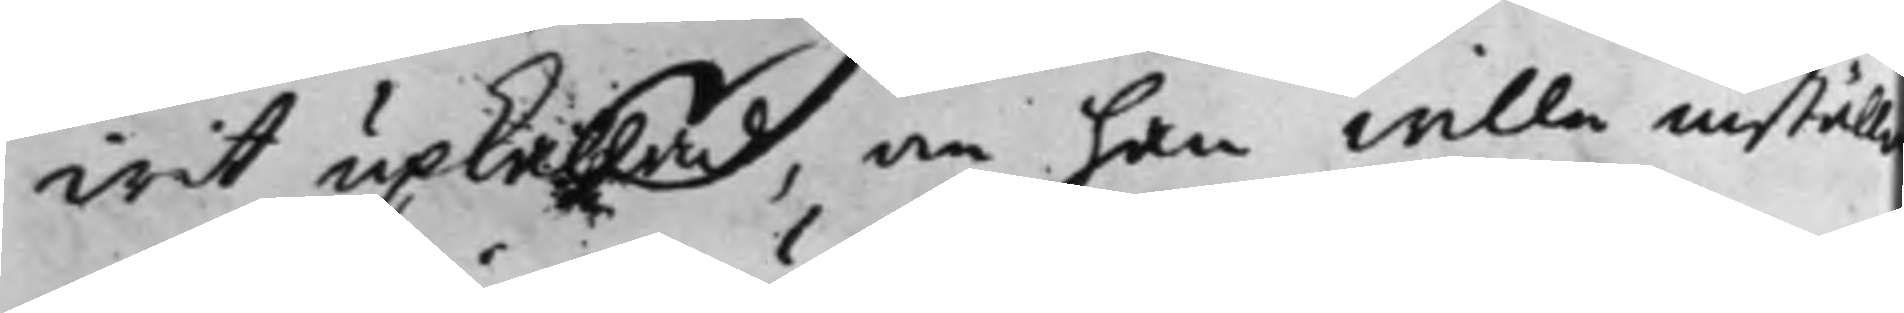wit upkallad, om han wille inställa
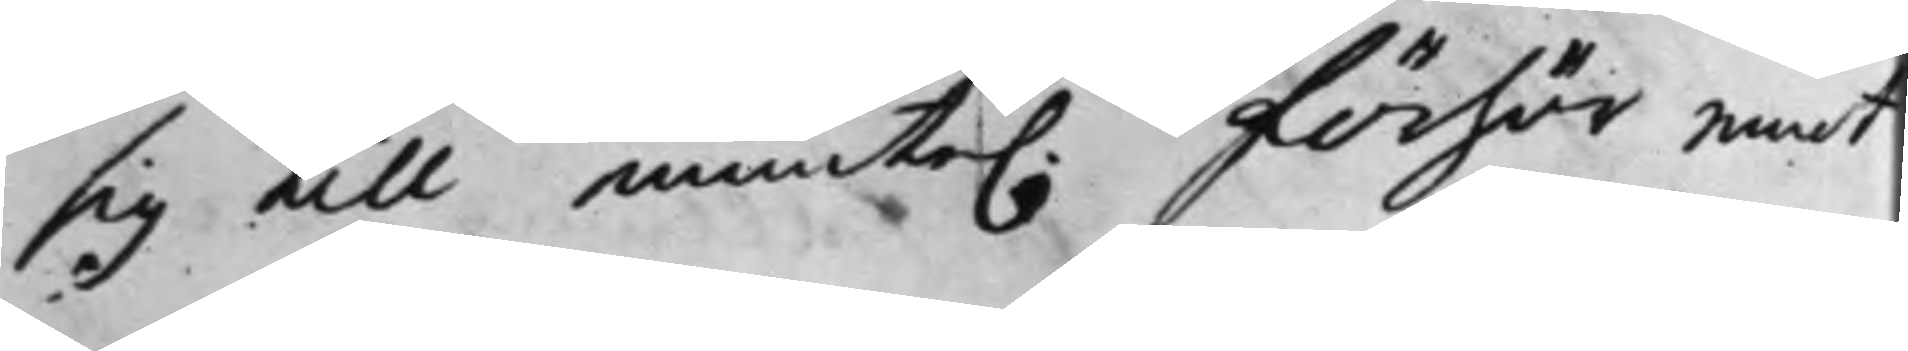sig till munte. Förhör emot
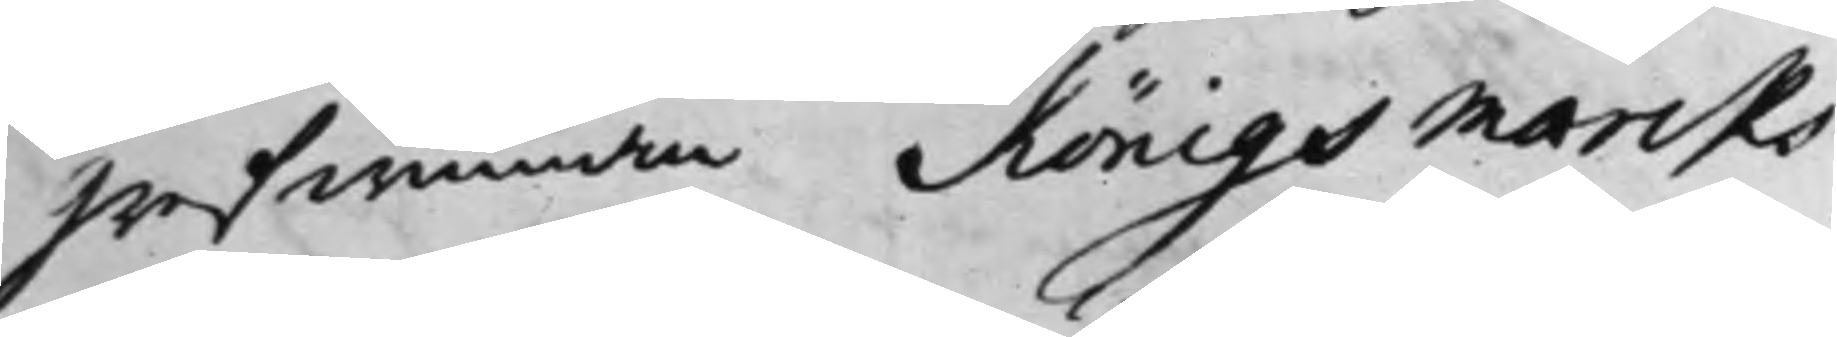Grefwinnan Königsmarcks
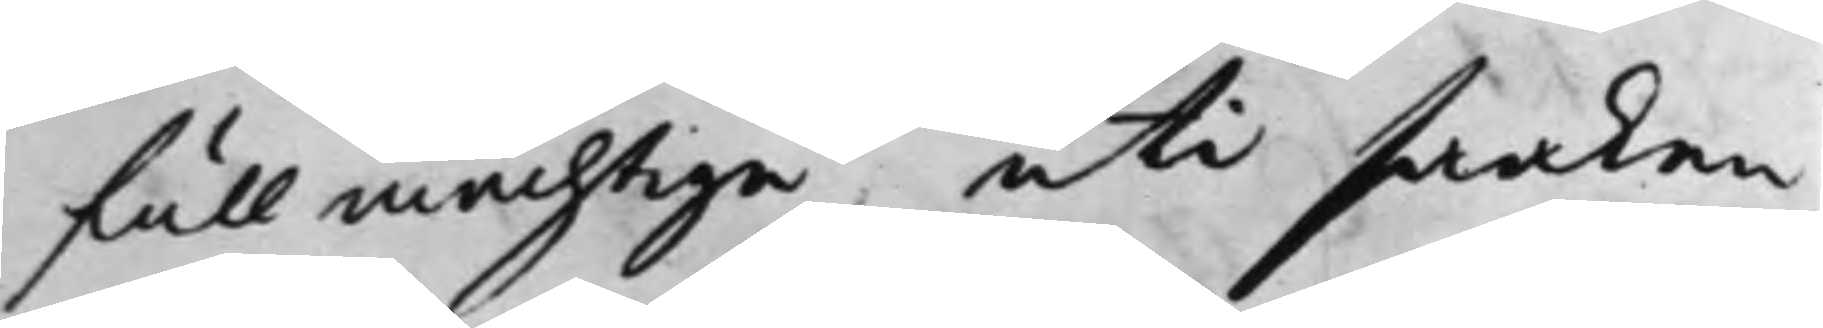fullmächtige, uti saaken,
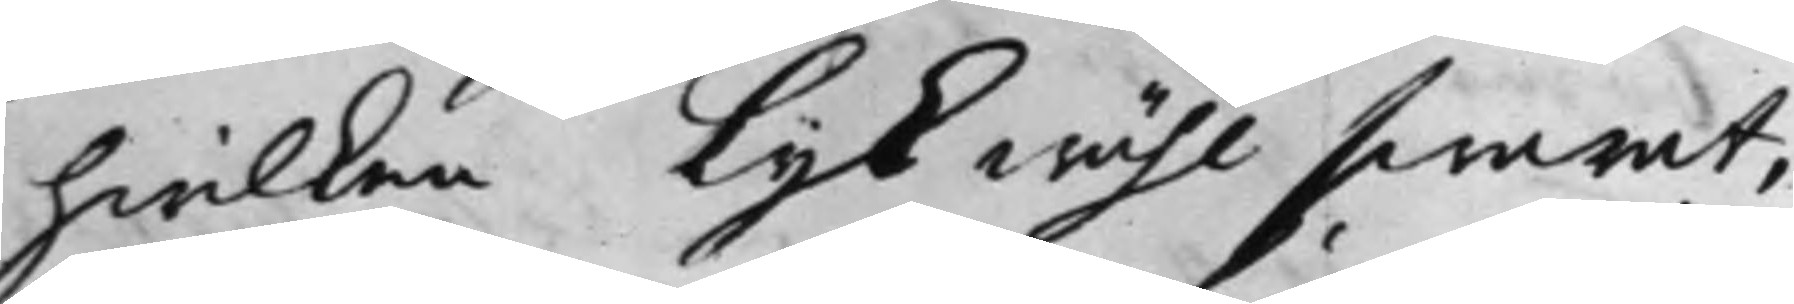hwilken lijkwähl swarat,
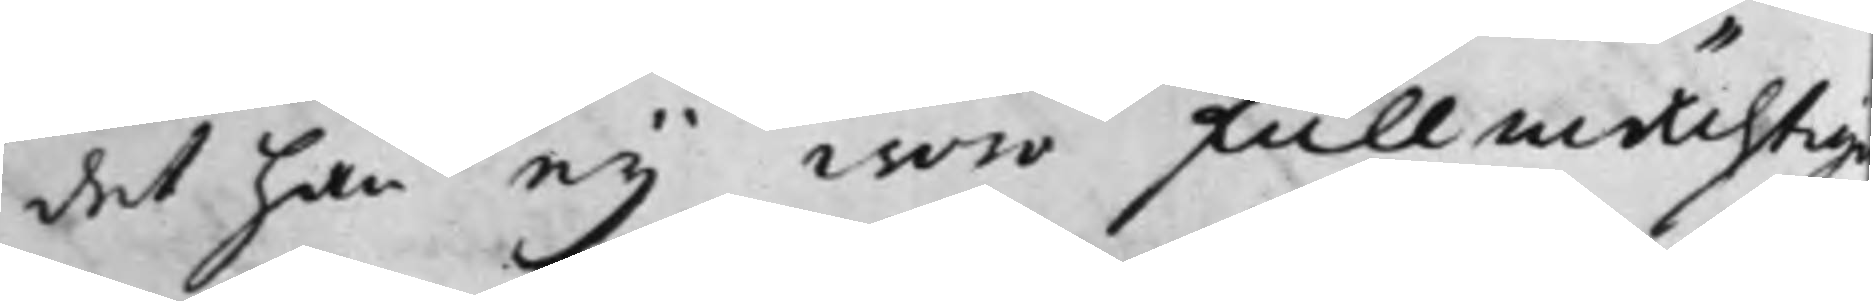det han eij war fullmächtige
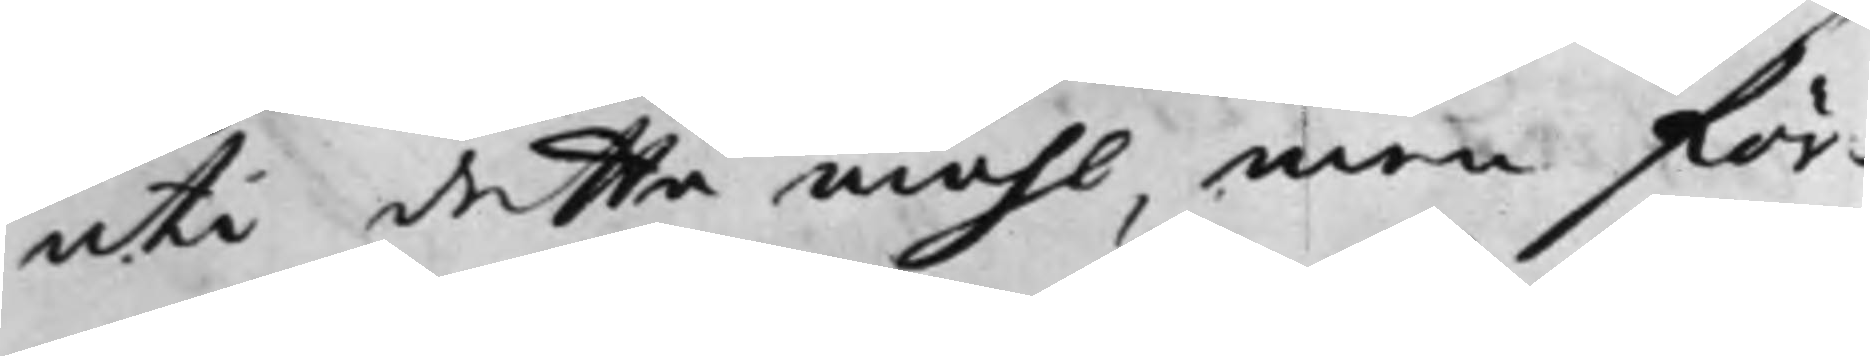uti detta måhl, men för¬
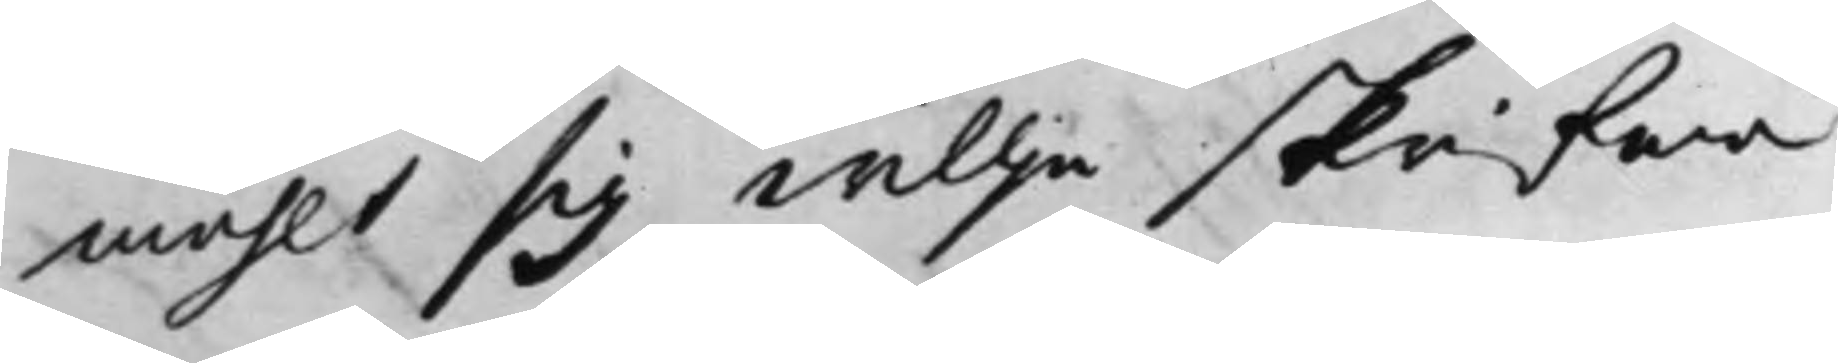mählt sig willja skrifwa
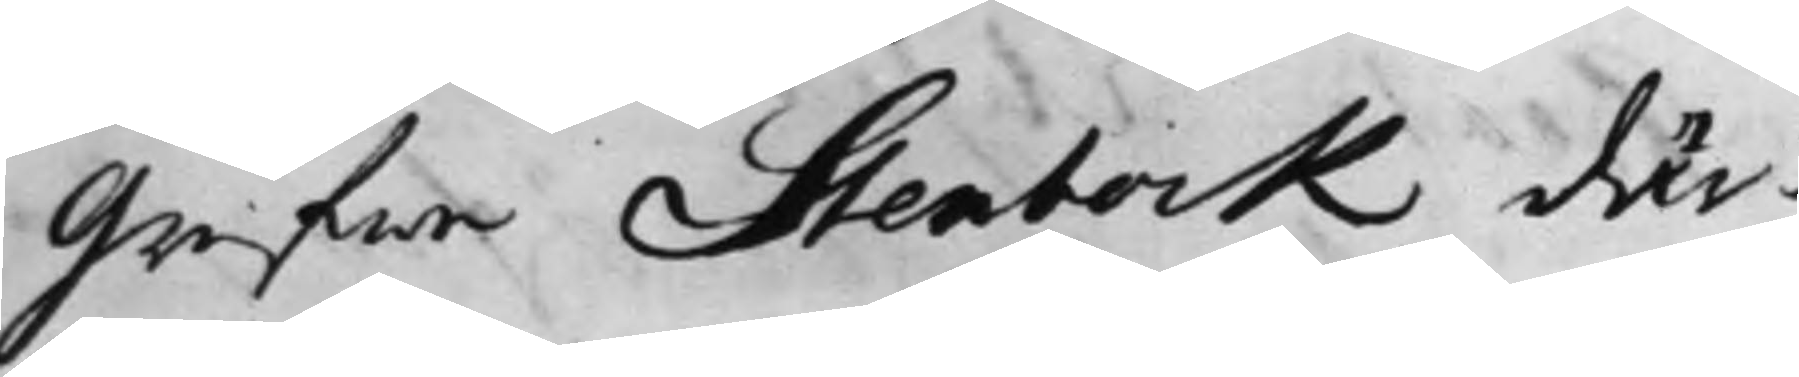Grefwe Stenbock där¬
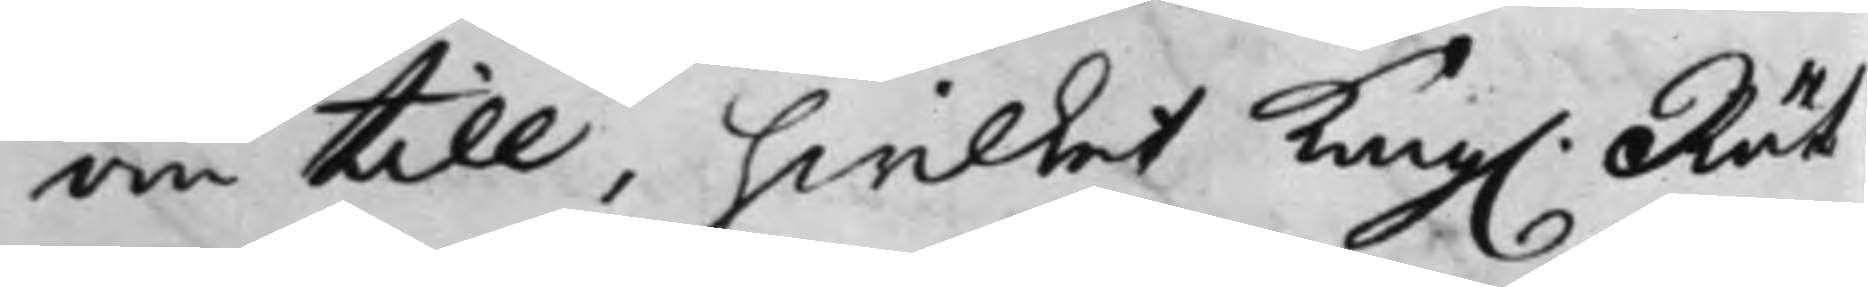om till, hwilket Kong. Rät¬
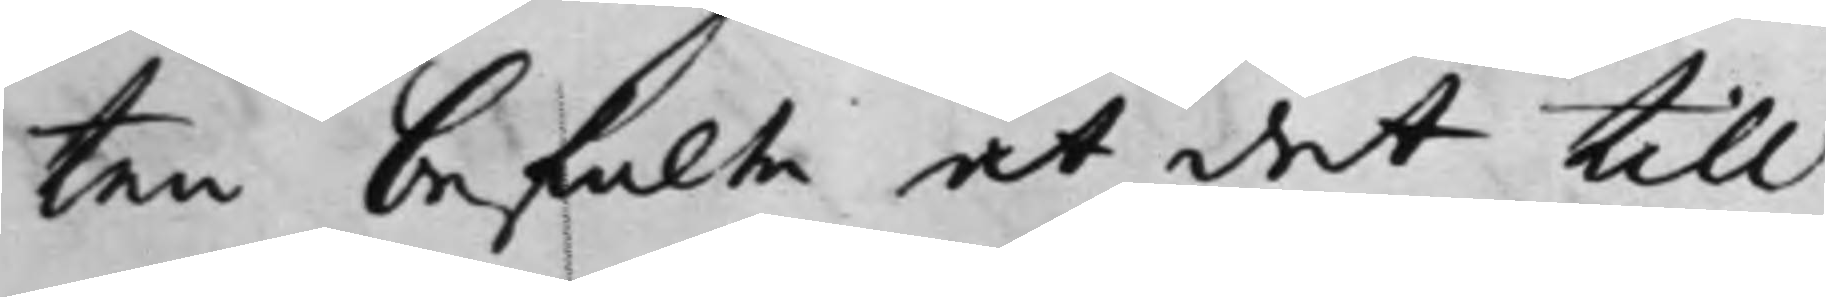ten befalte at det till
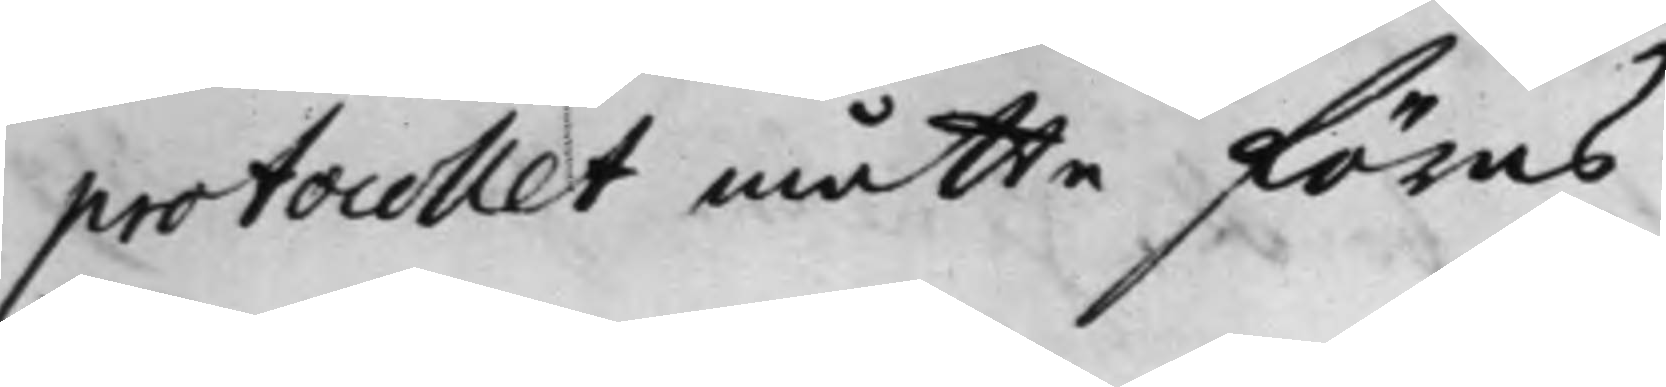protocollet måtte föras.
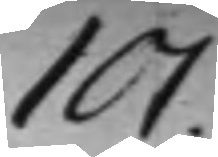101.
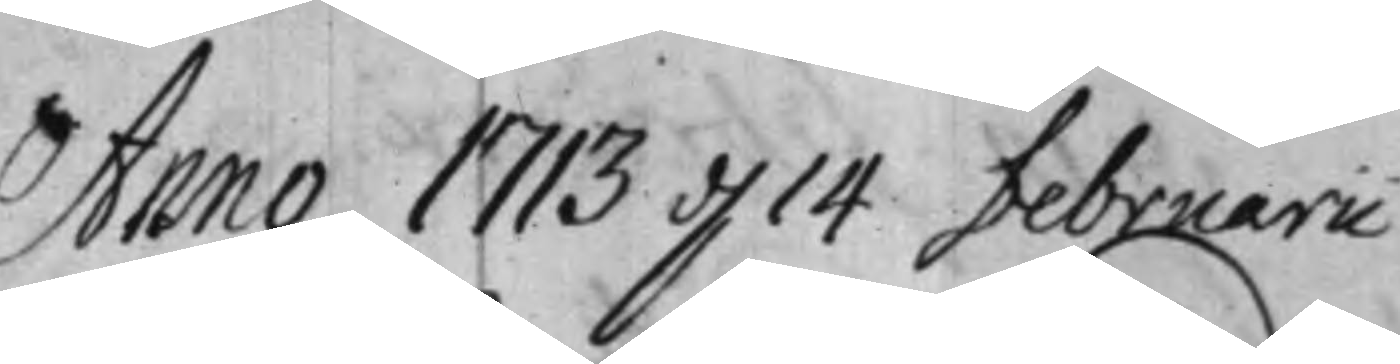Anno 1713 d. 14 februari
